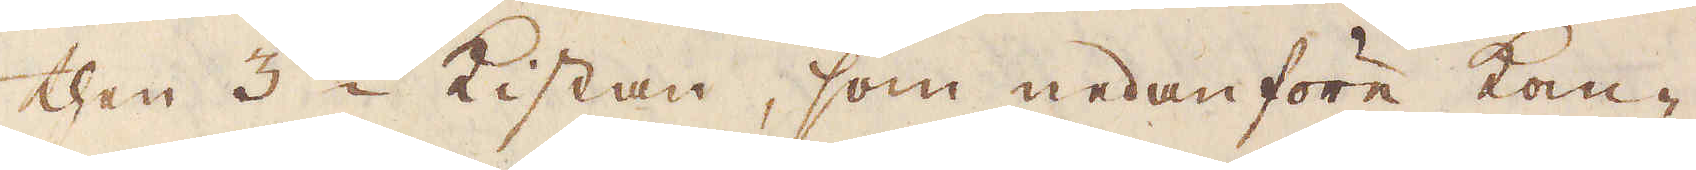then 3:die Kistan, som nedanföre kom-
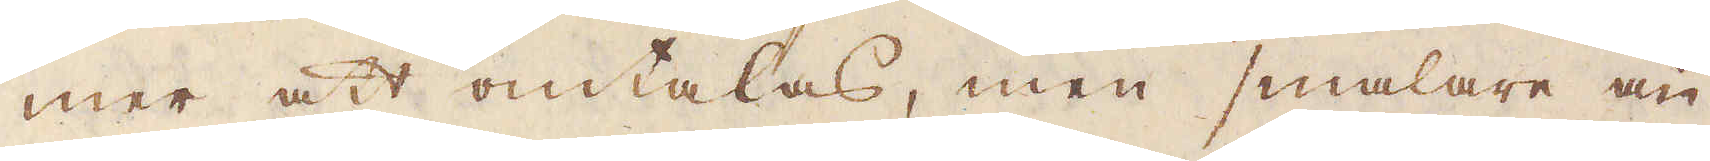mer att omtalas, men smalare än
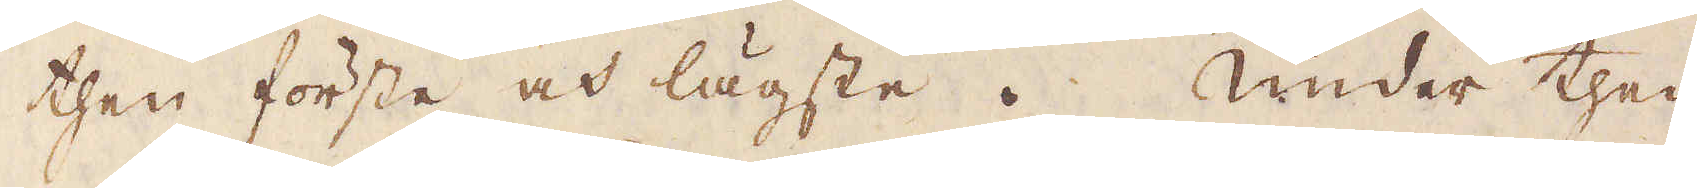then förste och lägste. Under then
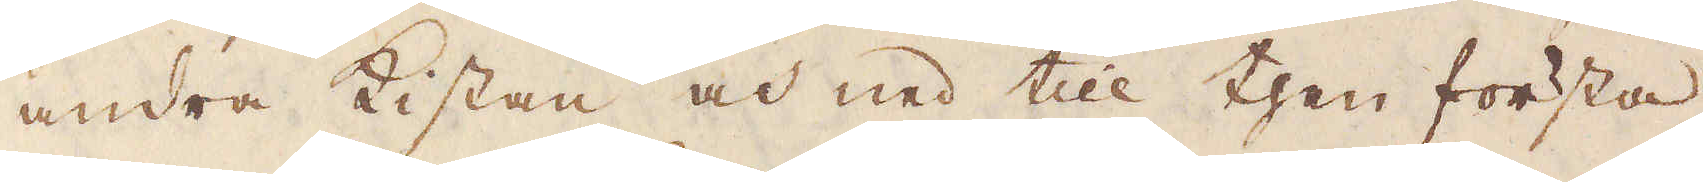andra Kistan och ned till then första
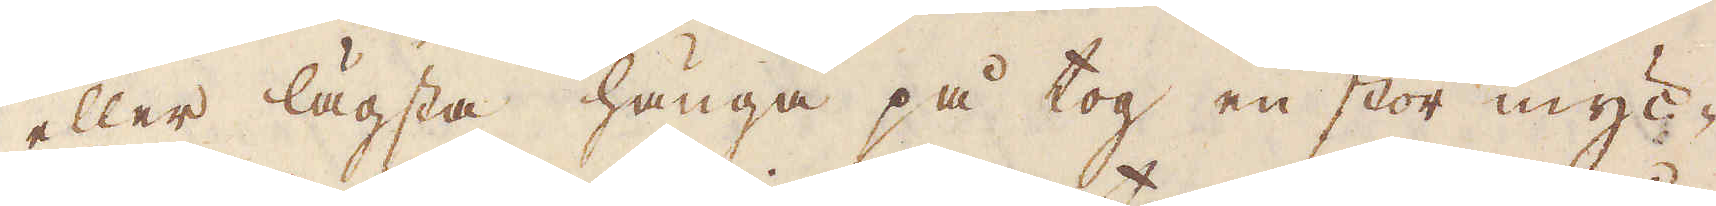eller lägsta hänga på tog en stor myc-
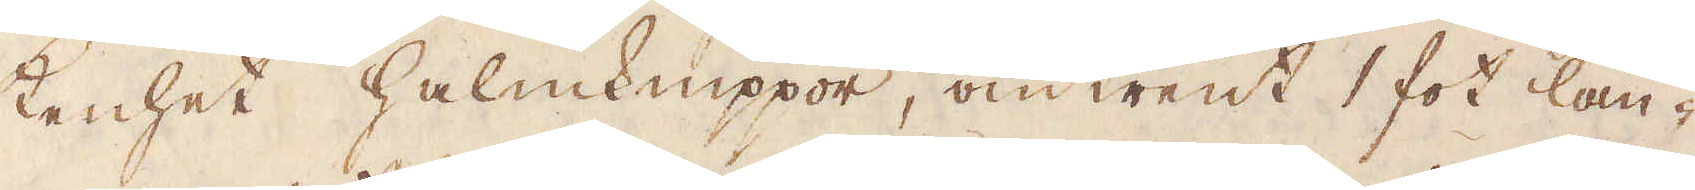kenhet halmknippor, omtrent 1 fot lån-
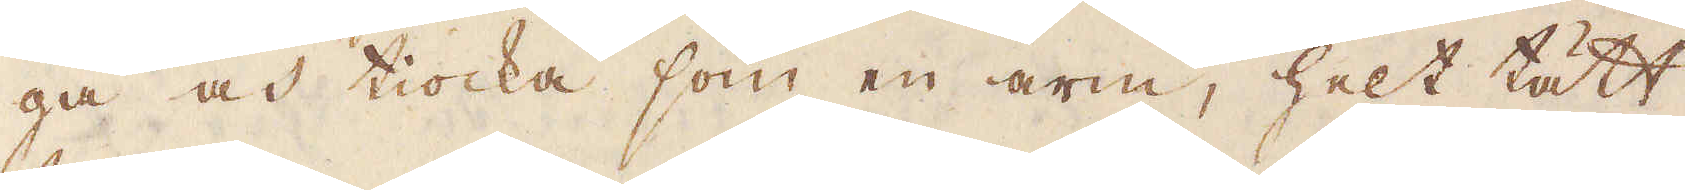ga och tiocka som en arm, helt tätt
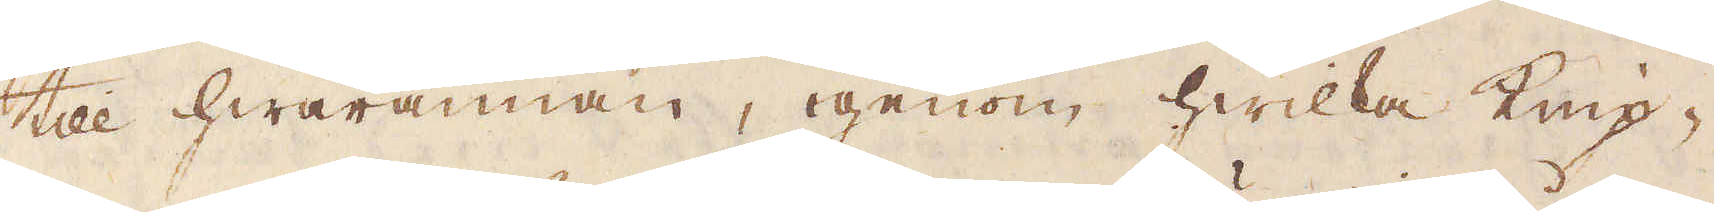till hwarannan, igenom hwilka knip-
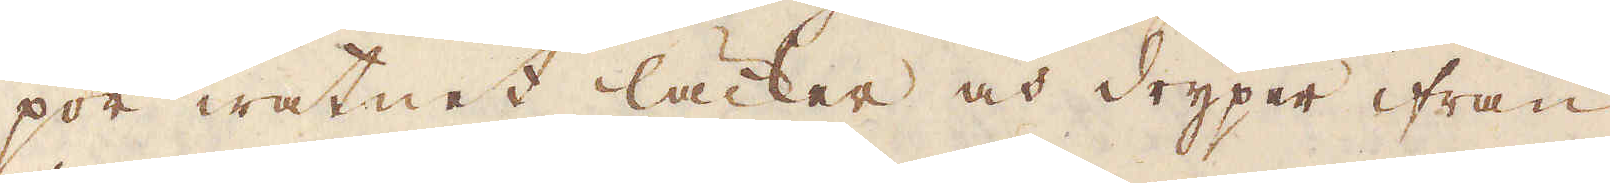por watnet läcker och dryper ifrån
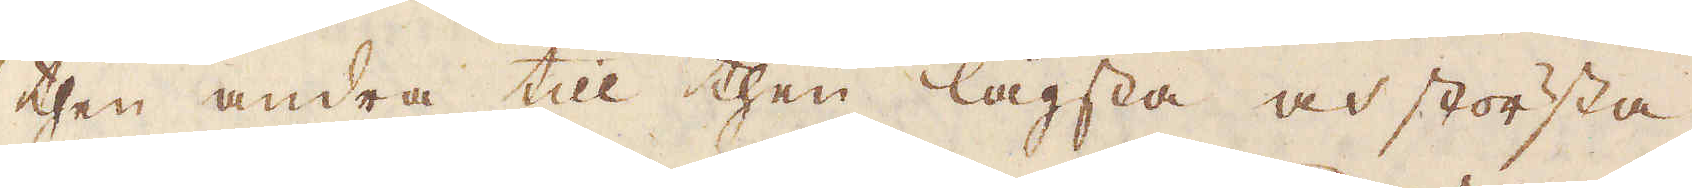then andra till then lägsta och största
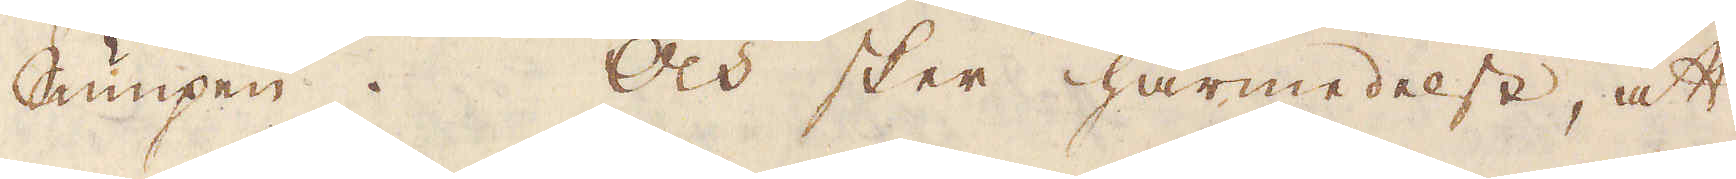Sumpen. Och sker härmedelst, att
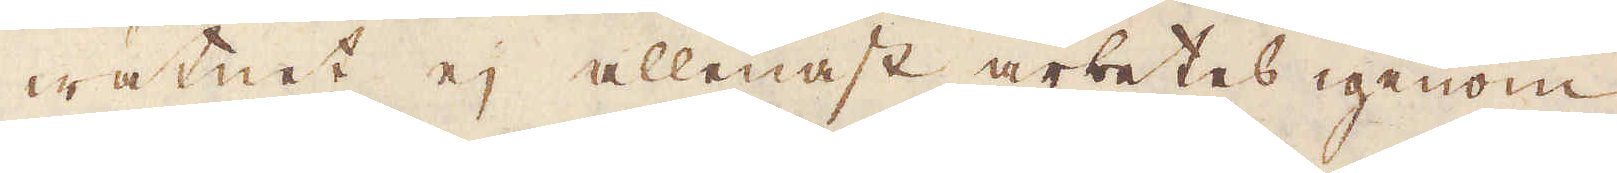watnet ej allenast arbetes igenom
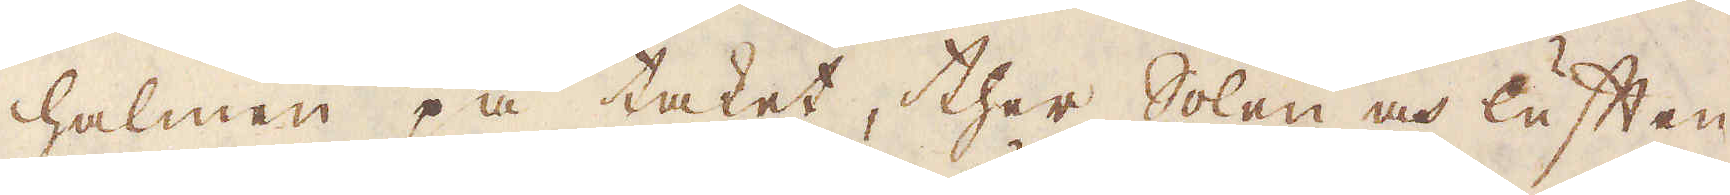halmen på taket, ther Solen och luften
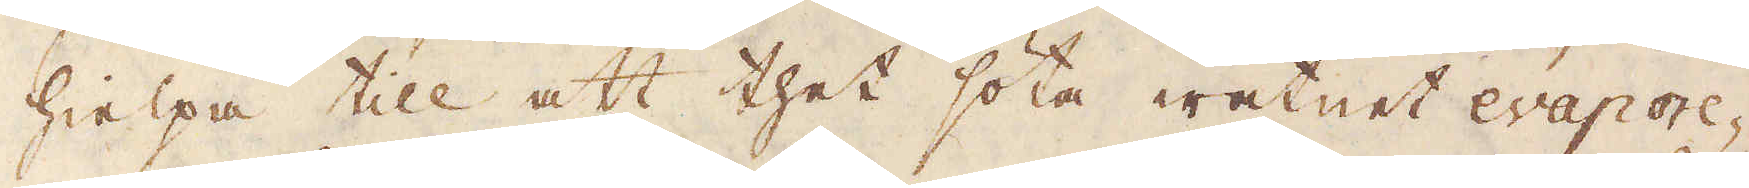hielpa till att thet söta watnet evapore-
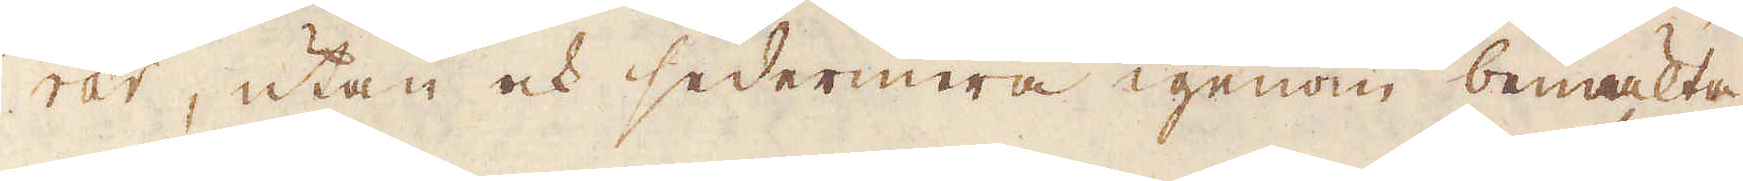rar, utan och sedermera igenom bemälta
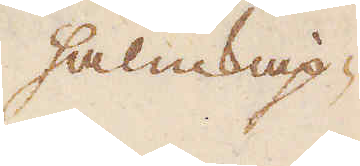halmknip-
